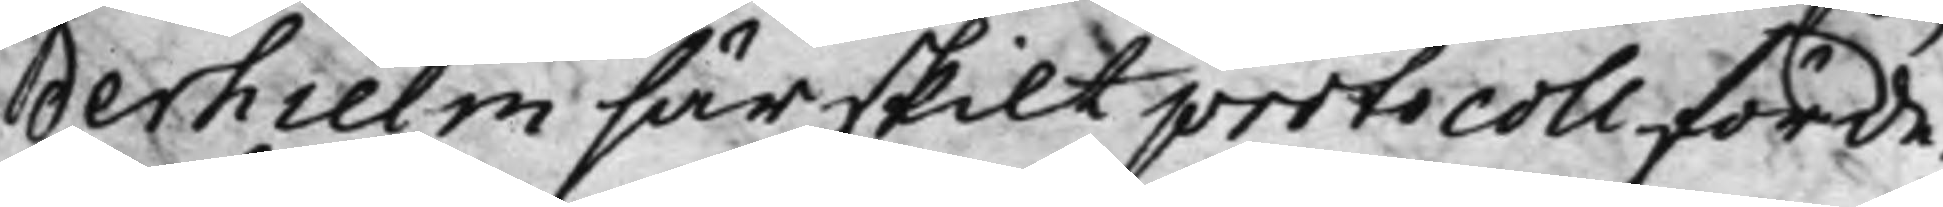derhielm särskilt protocoll förde.
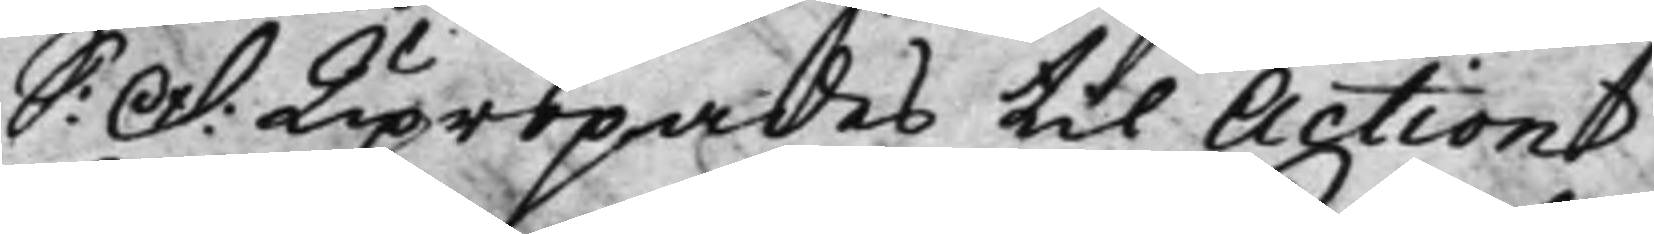S: D: Upropades til Action
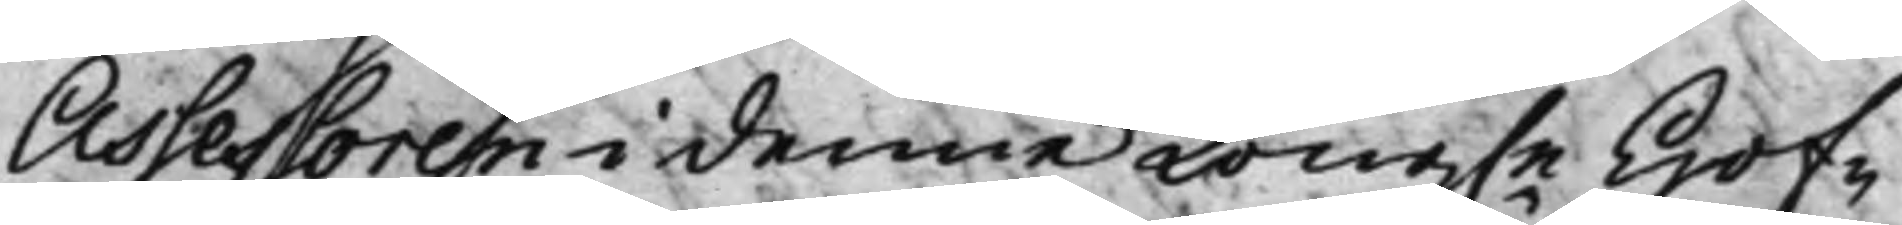Assessoren i denne Kong.e Hof¬
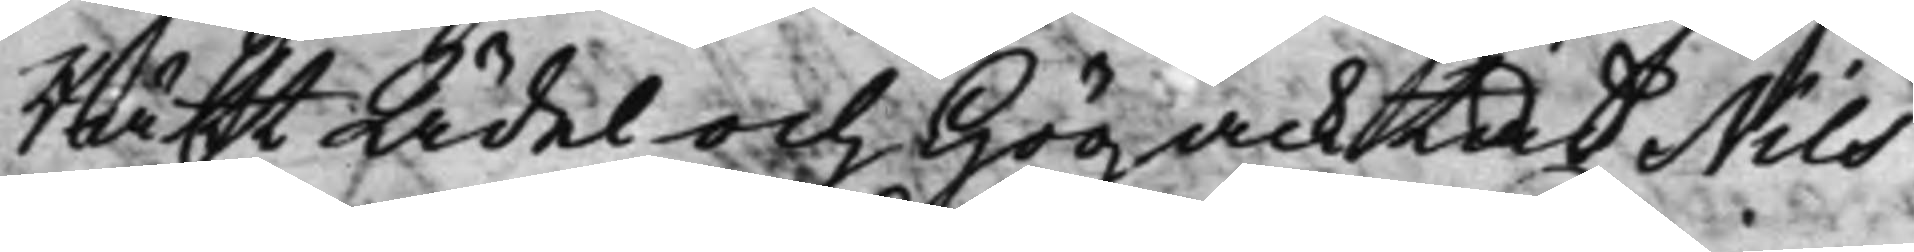Rätt Ädel och Högacktad Nils
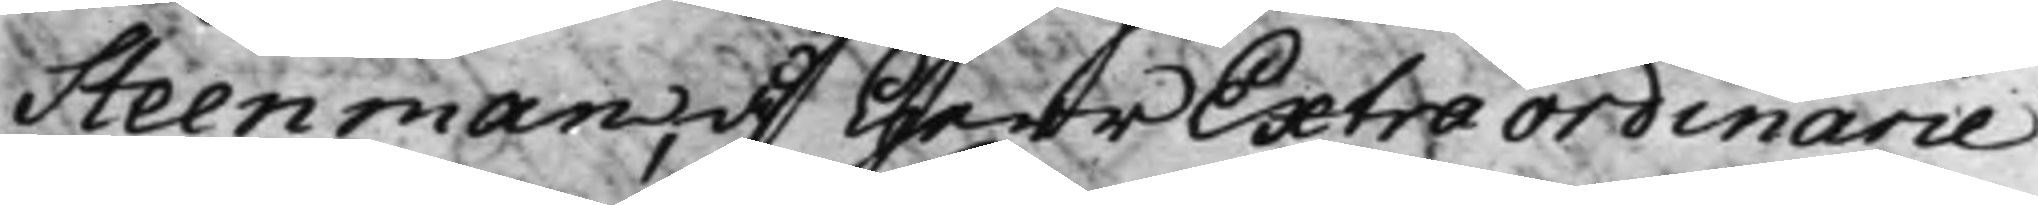Steenman, å Herr Extraordinarie
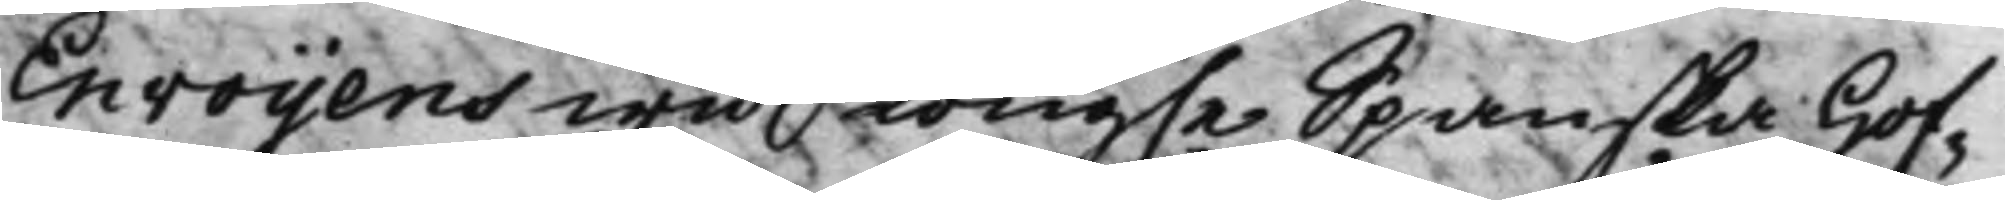Envoyens wid Kong.e Spanska Hof¬
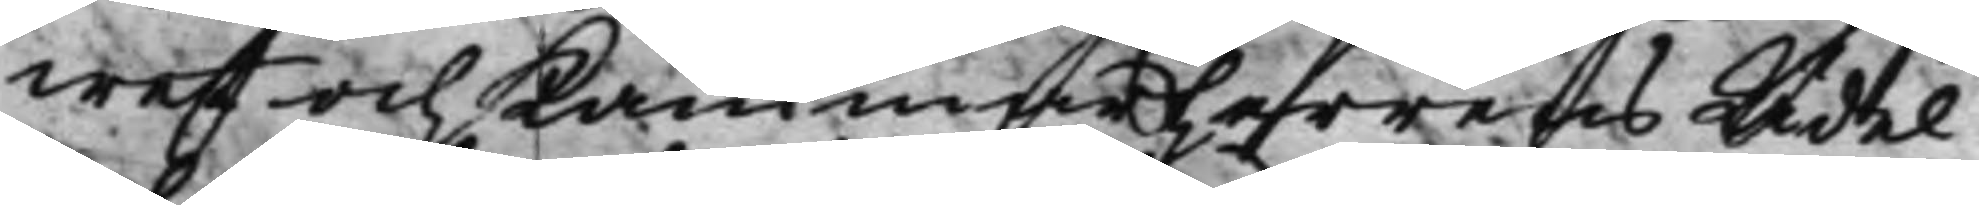wet och Kammarherrens Ädel
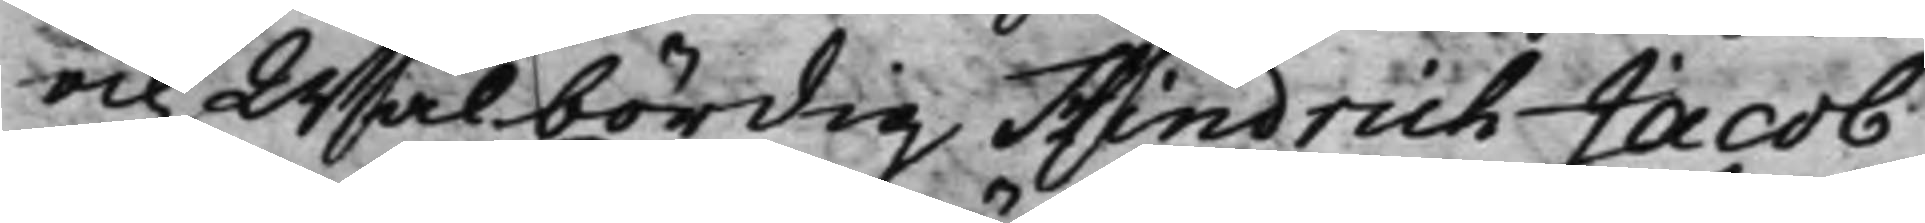och Wälbördig Hindrich Jacob
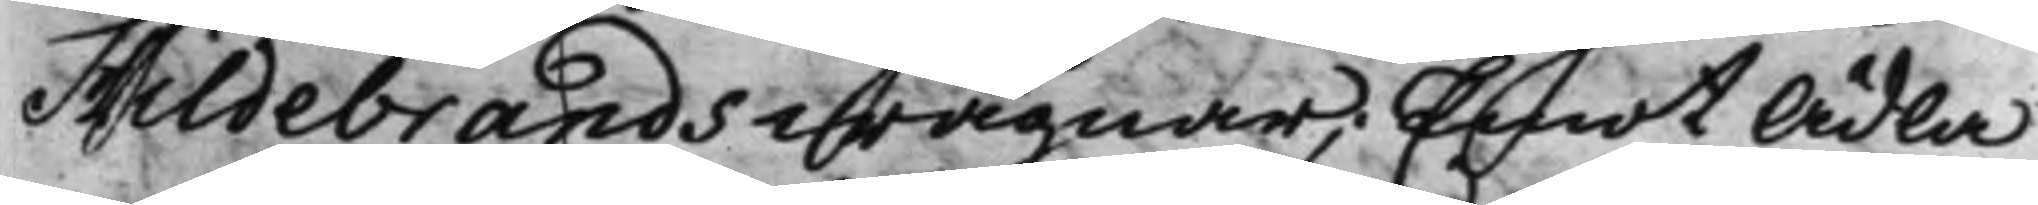Hildebrands wägnar; Emot Ädla
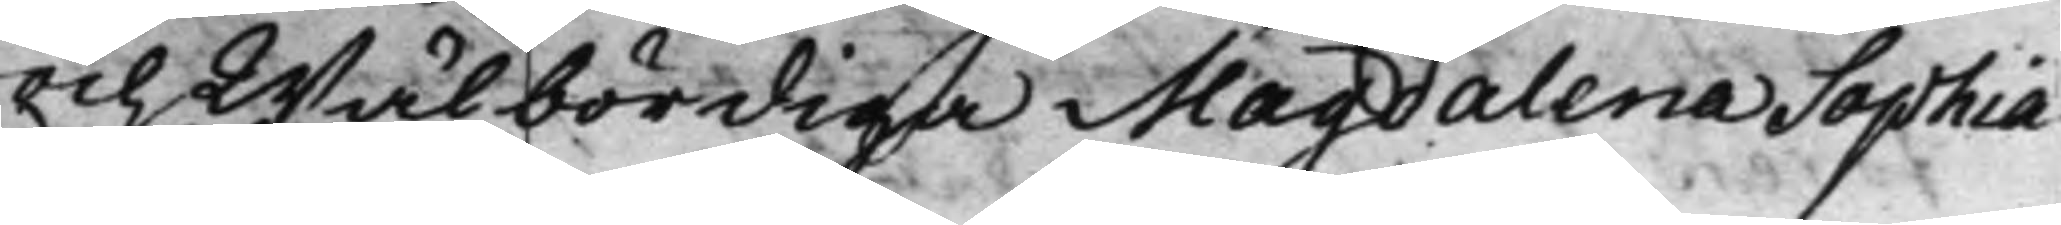och Wälbördiga Magdalena Sophia
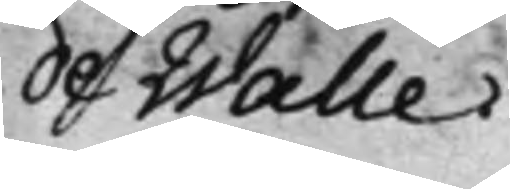de Walle.
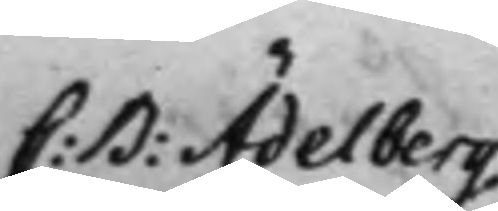C: B: Ädelberg
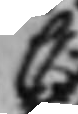C:
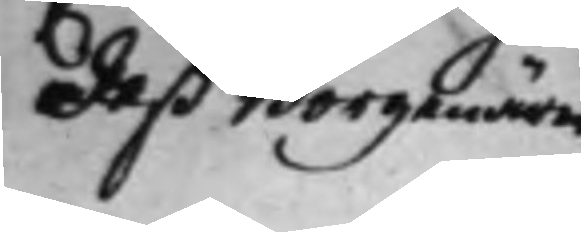deß Borgenärer
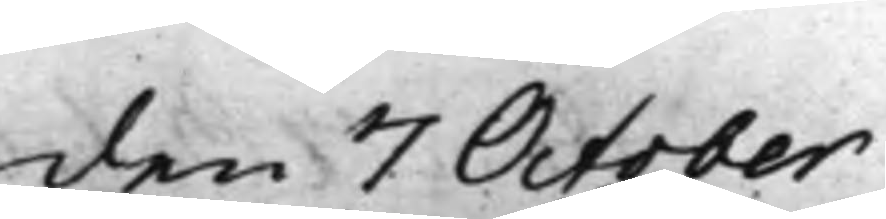den 7 October
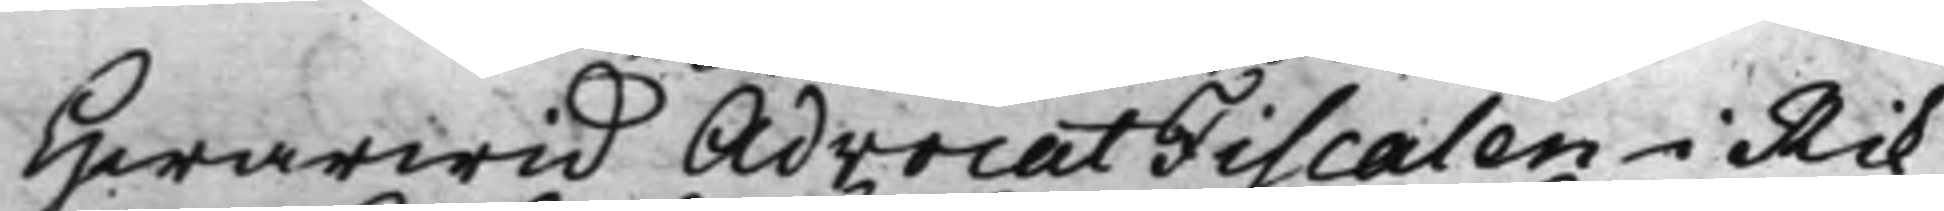Hwarwid AdvocatFiscalen i Rik¬
